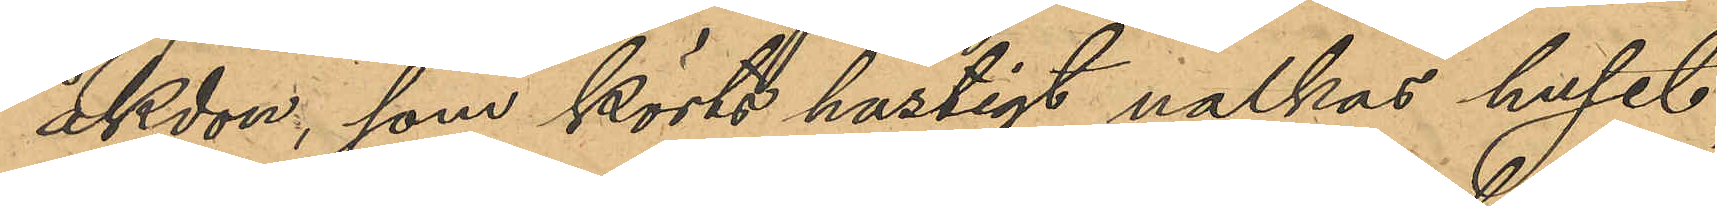åkdon, som körts hastigt nalkas huset,
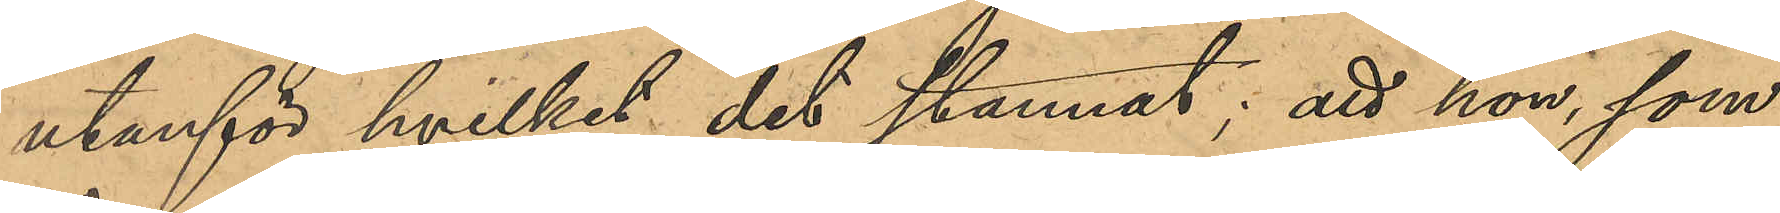utanför hvilket det stannat; att hon, som
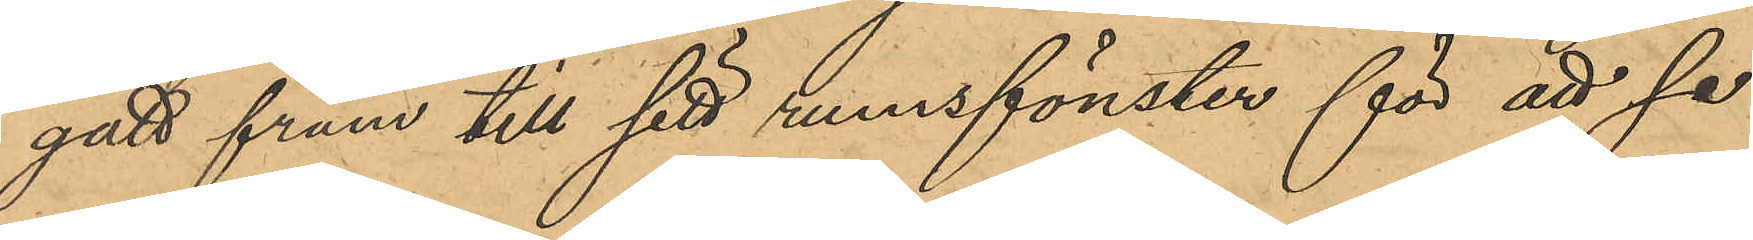gått fram till rumsfönstret för att se 
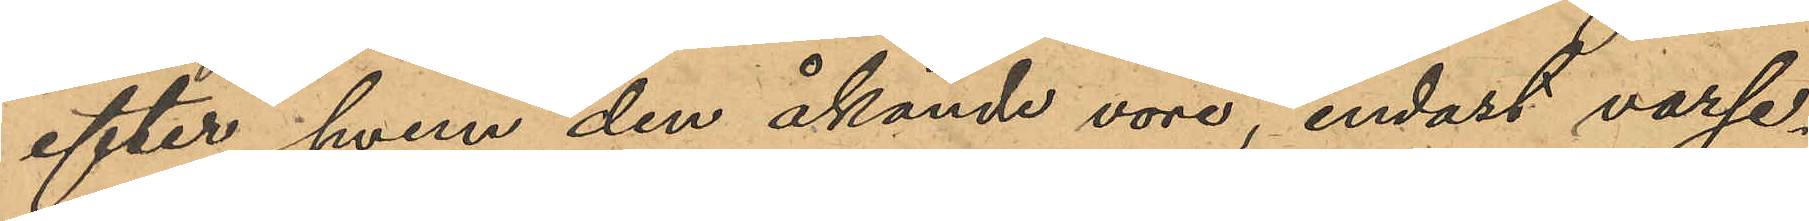efter hvem den åkande vore, endast varse¬
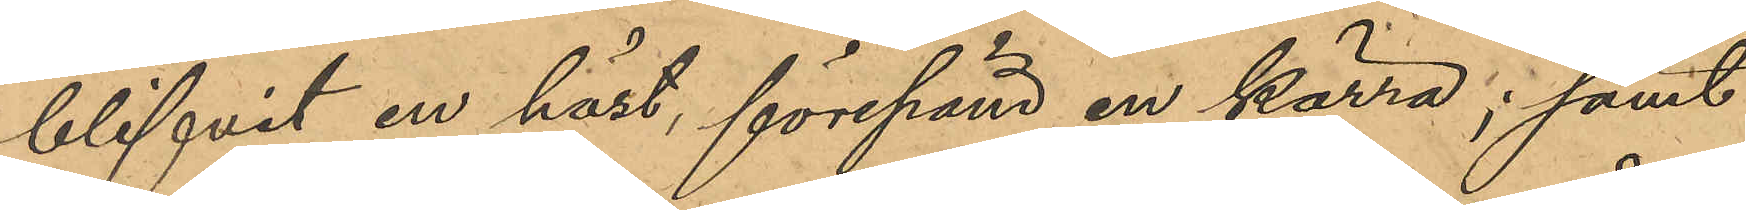blifvit en häst, förspänd en kärra; samt
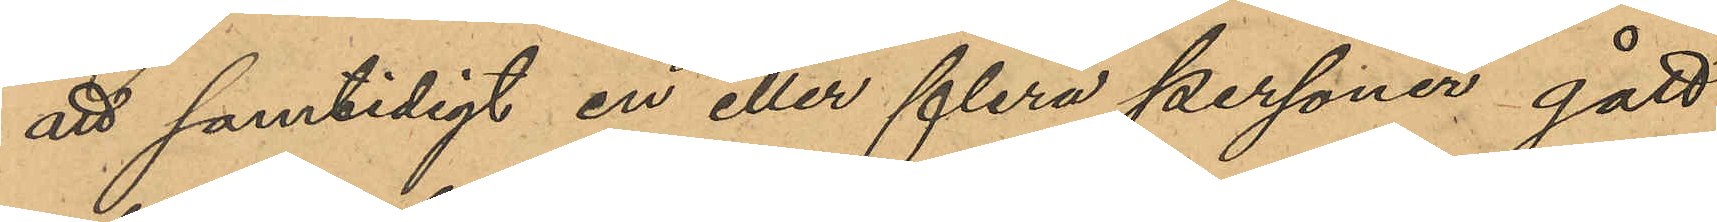att samtidigt en eller flera personer gått
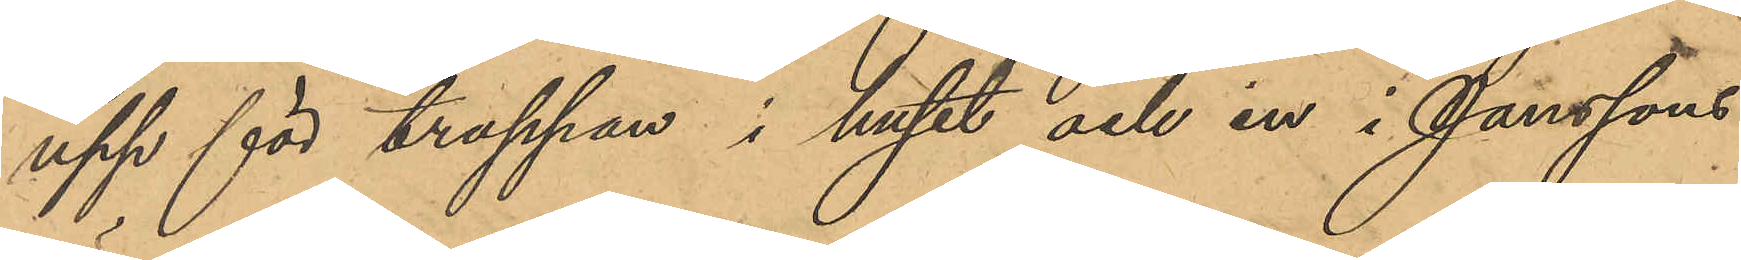upp för trappan i huset och in i Janssons
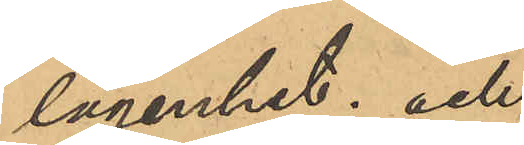lägenhet; och
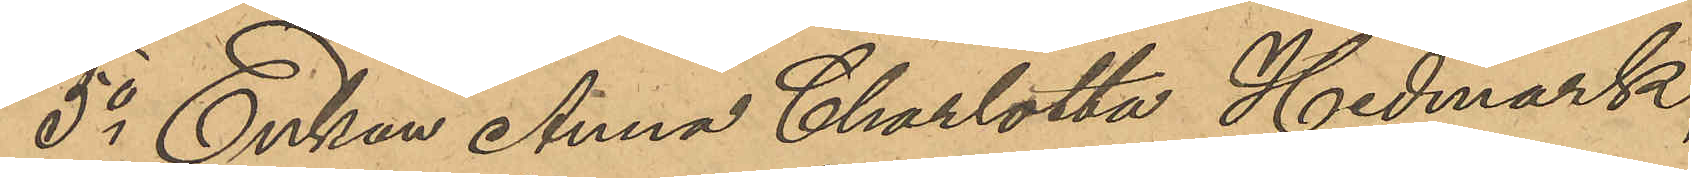5o Enkan Anna Charlotta Hedmark,
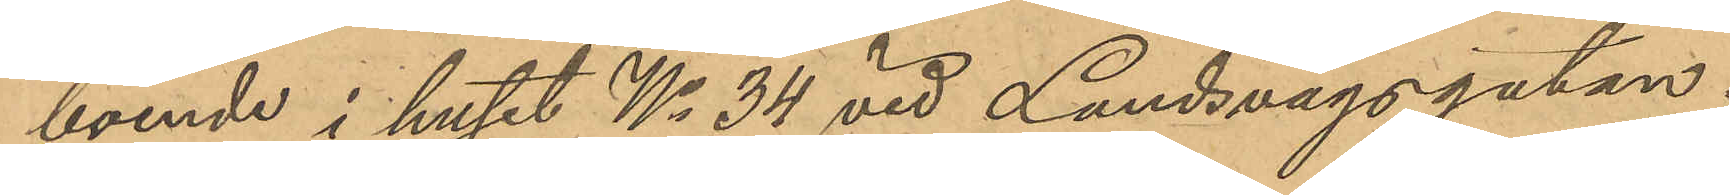boende i huset No 34 vid Landsvägsgatan:
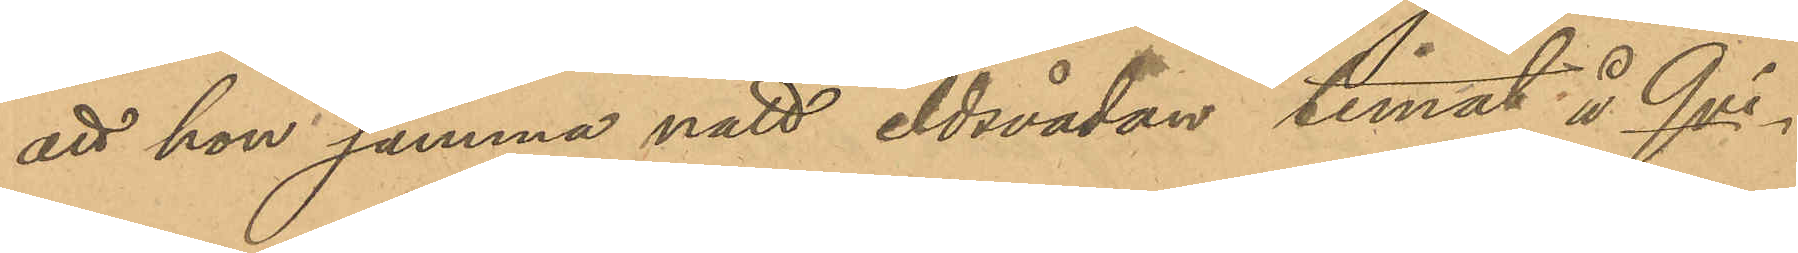att hon samma natt eldsvådan timat å Qvi¬
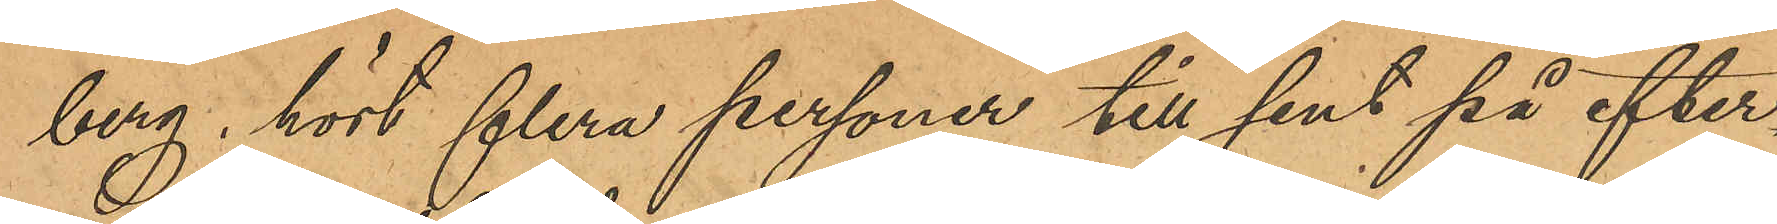berg, hört flera personer till sent på efter¬
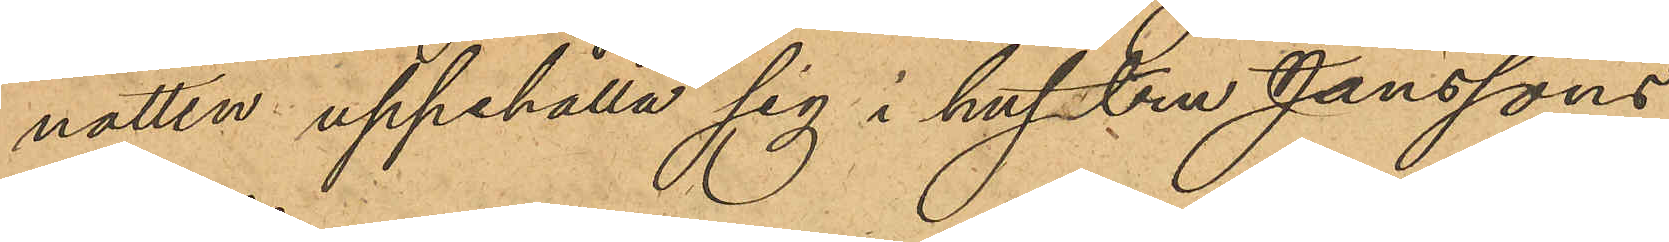natten uppehålla sig i hustru Janssons
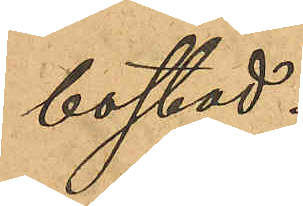bostad.
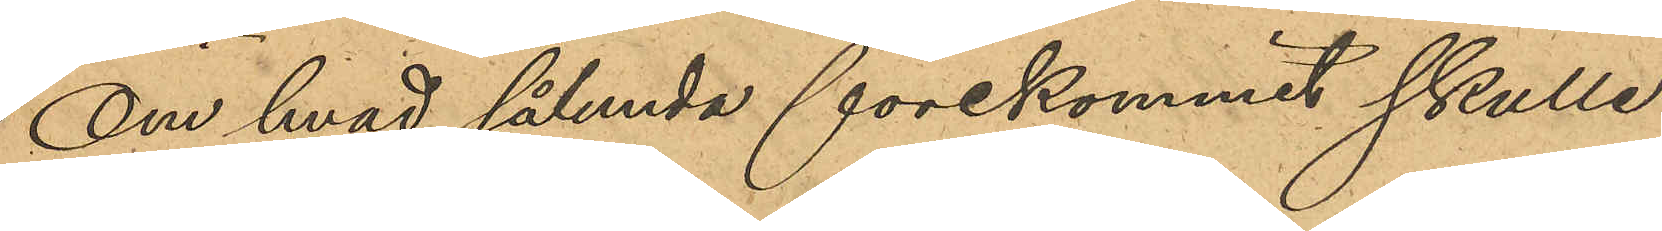Om hvad sålunda förekommit skulle
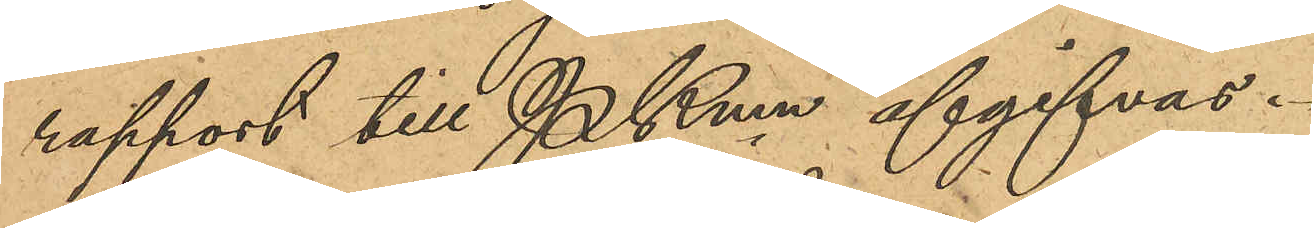rapport till PKmn afgifvas.
